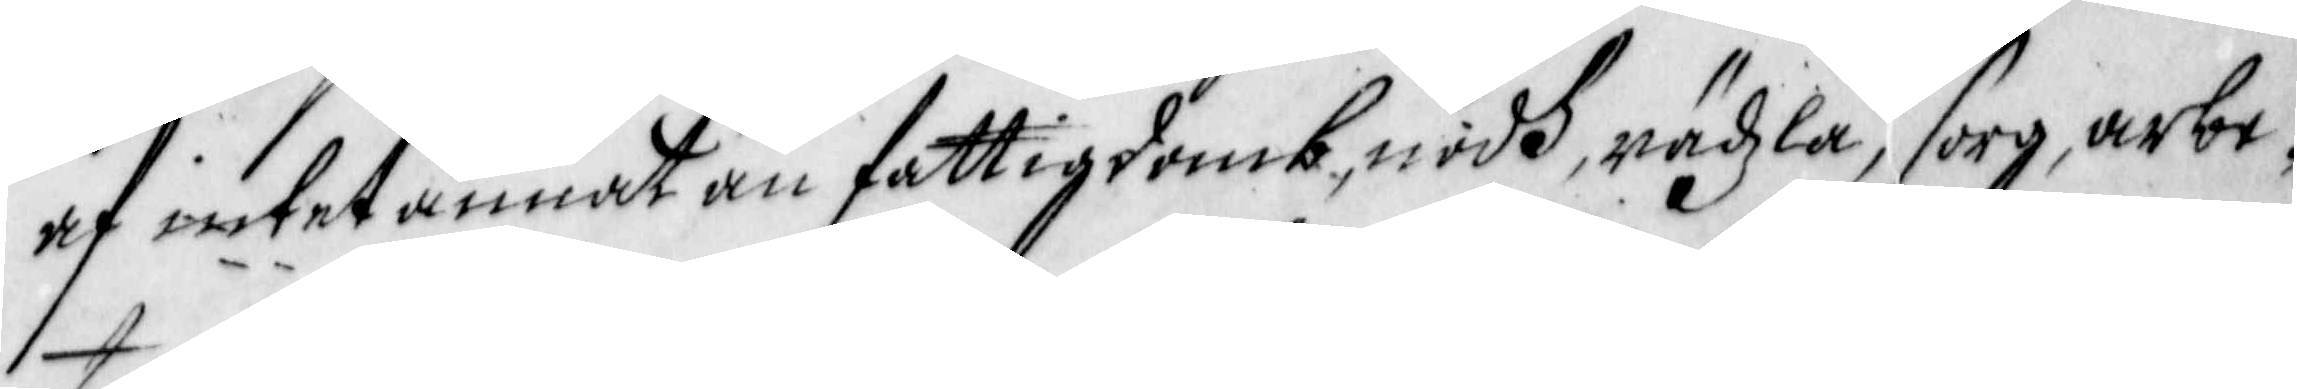af intet annat än fattigdomb, nödh, rädzla, sorg, arbe¬
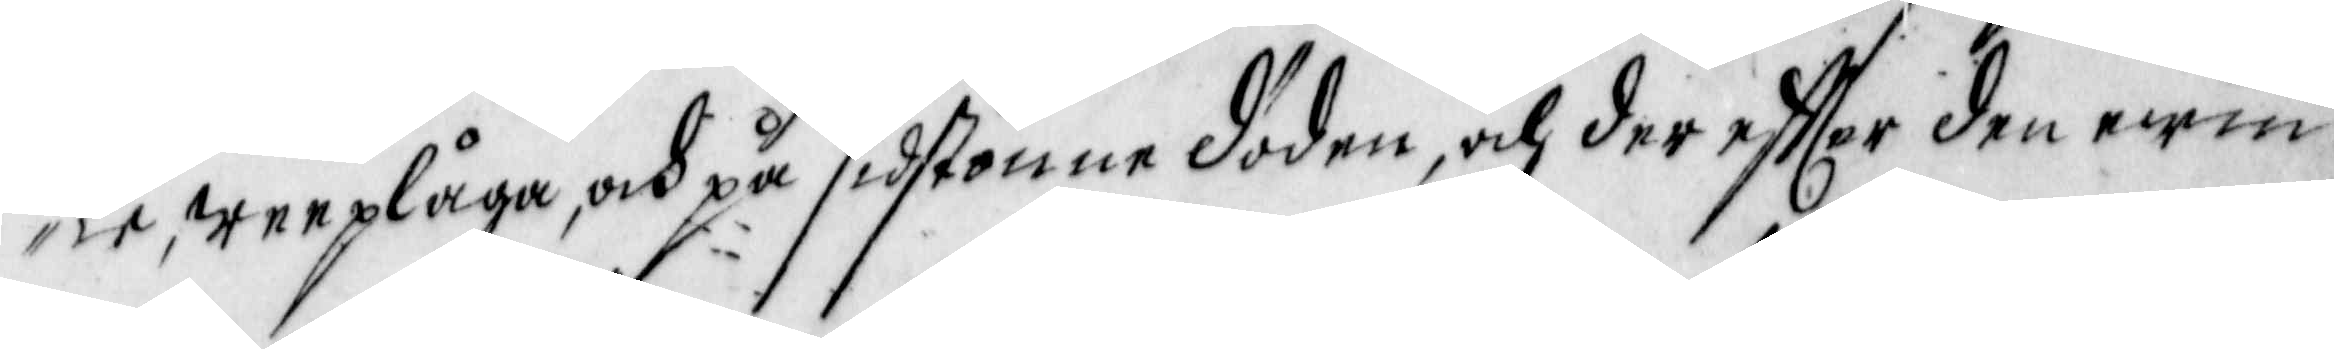te, weeplåga, och på sidstonne döden, och der effter den ewin¬
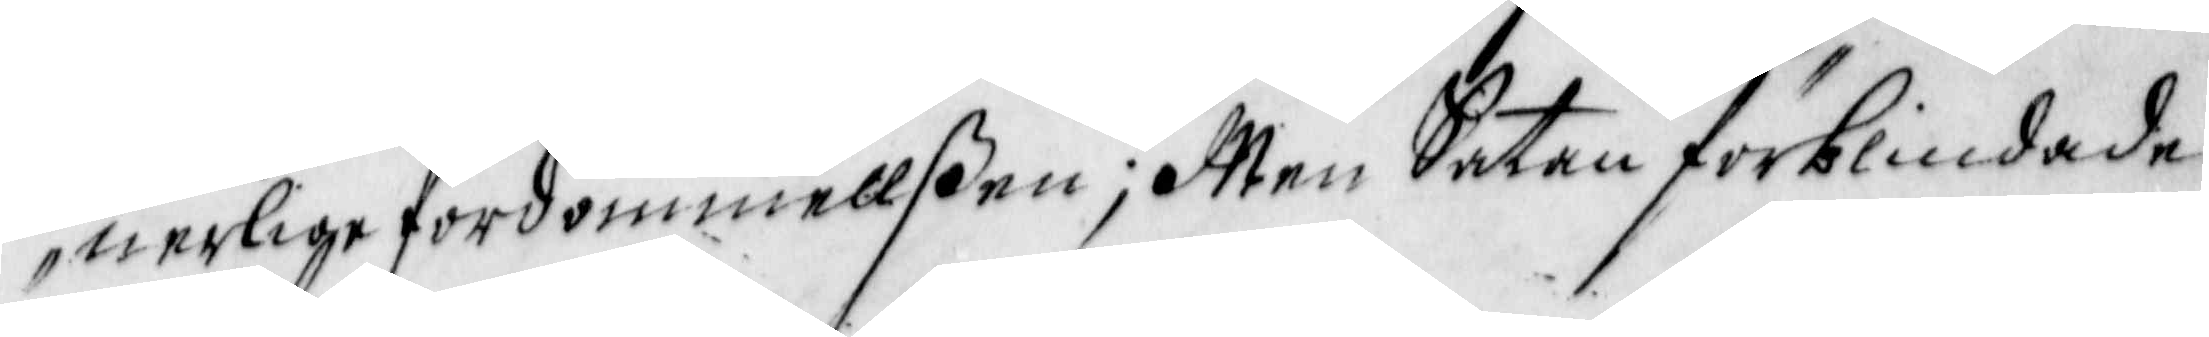nerlige fördömmellßen; Men Satan förblindade
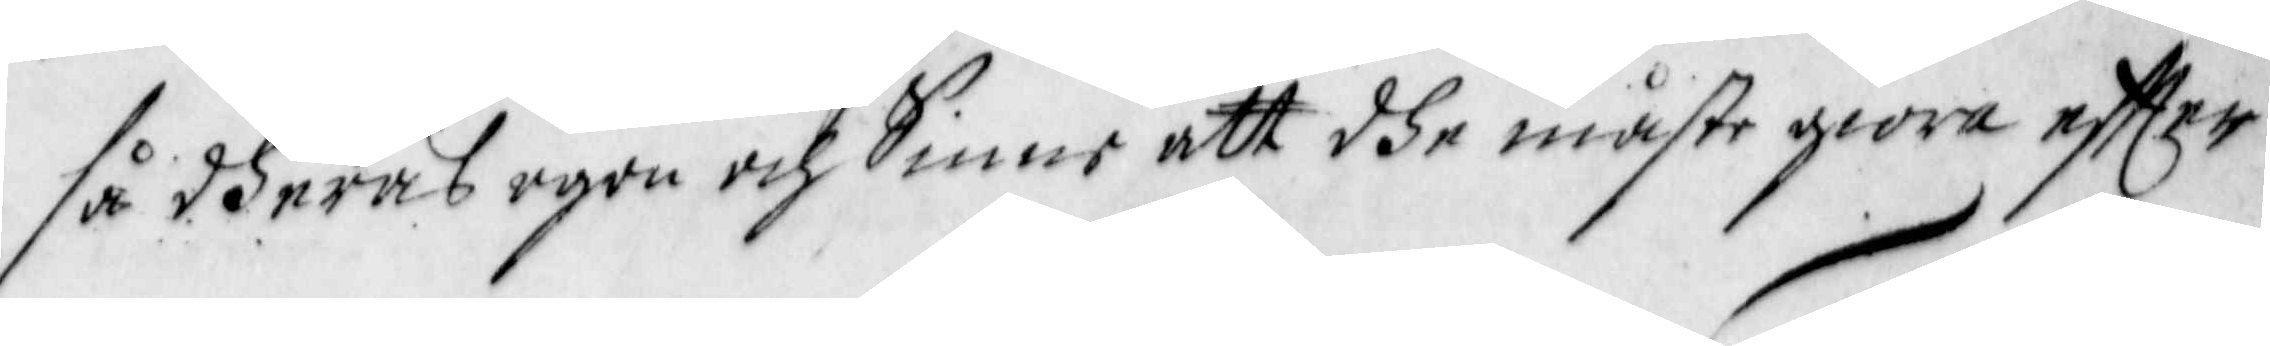så dheras ögon och sinne att dhe måste giöra effter
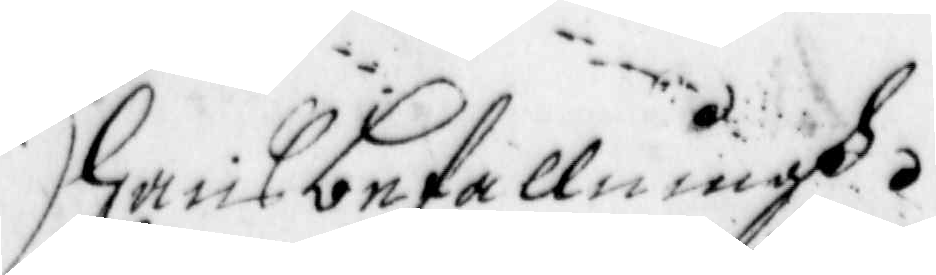hans befallningh.
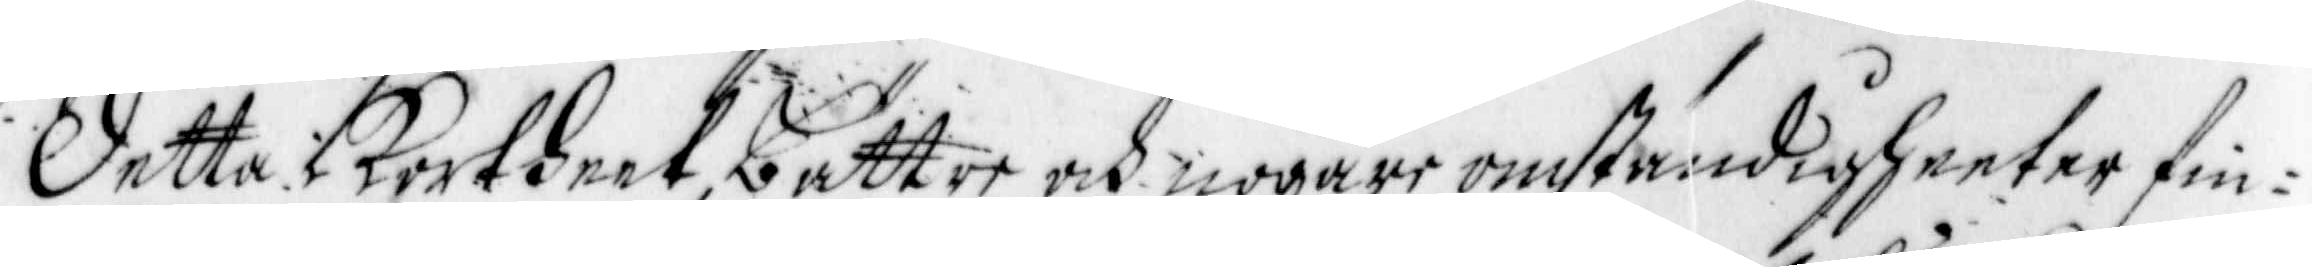Detta i Kortheet, bättre och nogare omständigheeter fin¬
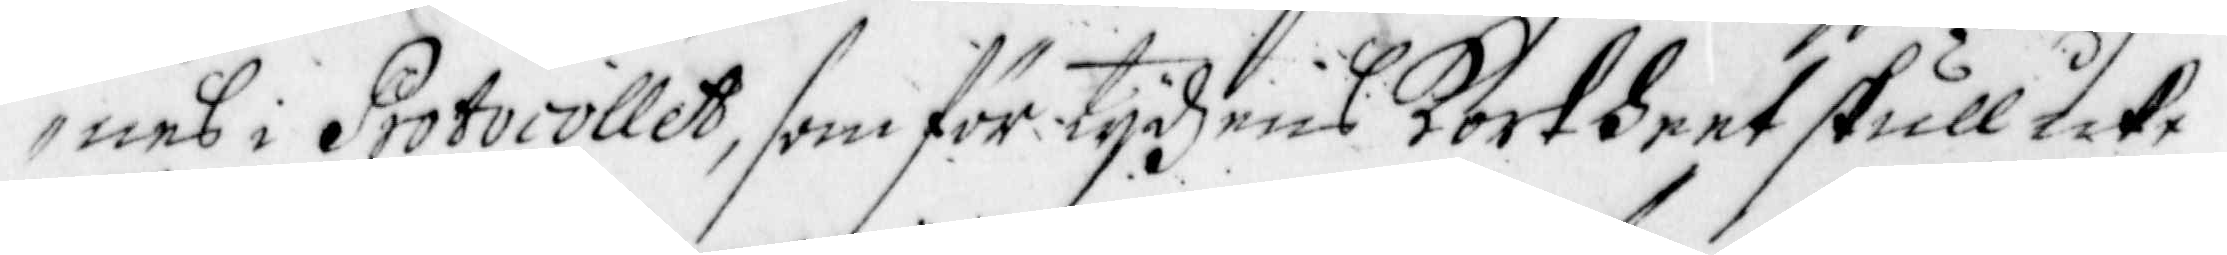nes i Protocollet, som för tijdens Kortheet skull icke
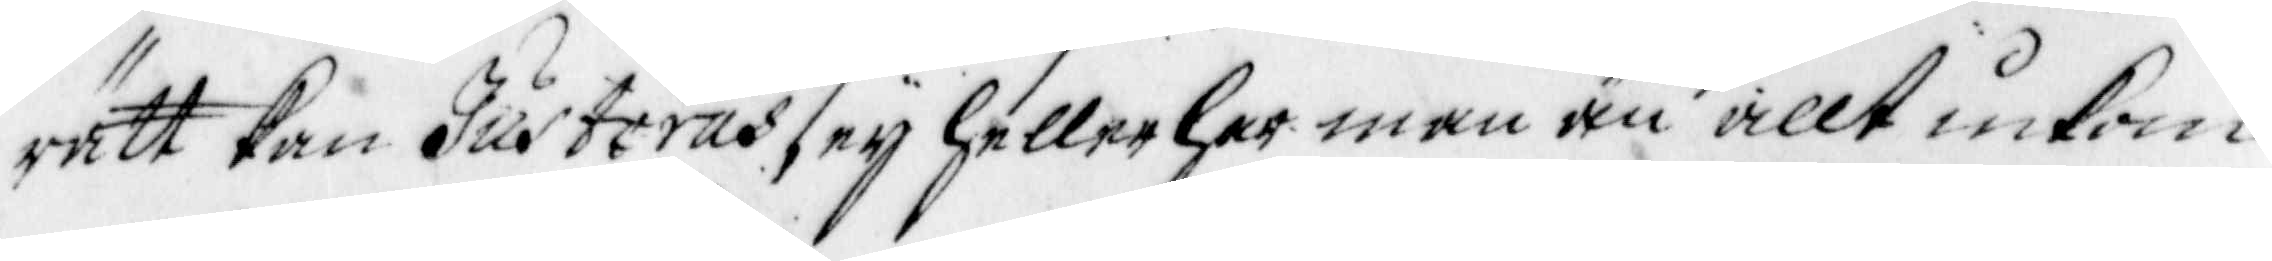rätt kan Justeras, eij heller har man än allt inkom-
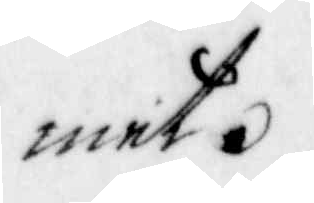met.
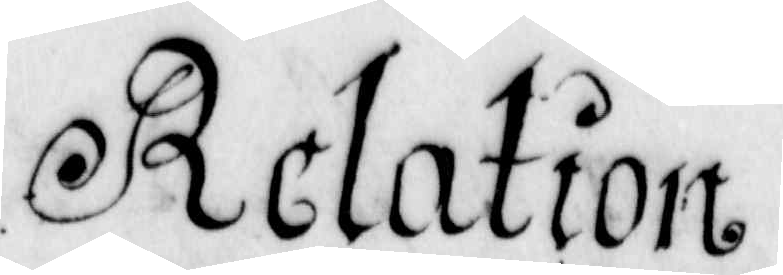Relation
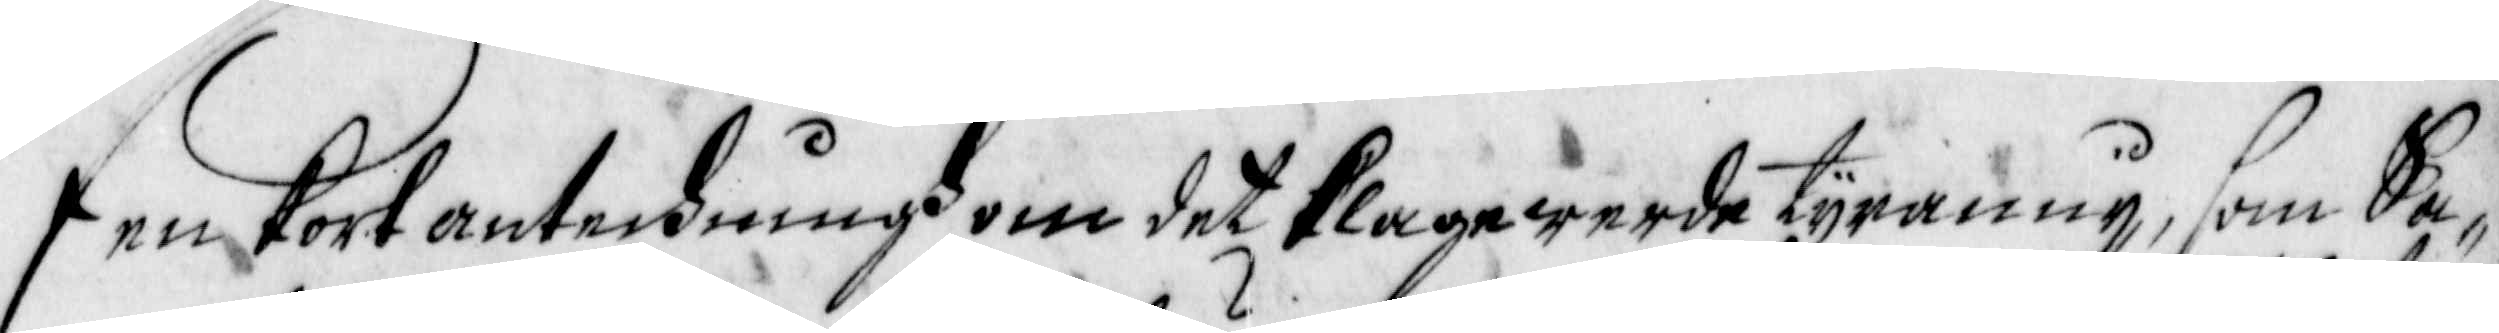Een Kort anteckningh om det Klagewerde tyranny, som Sa¬
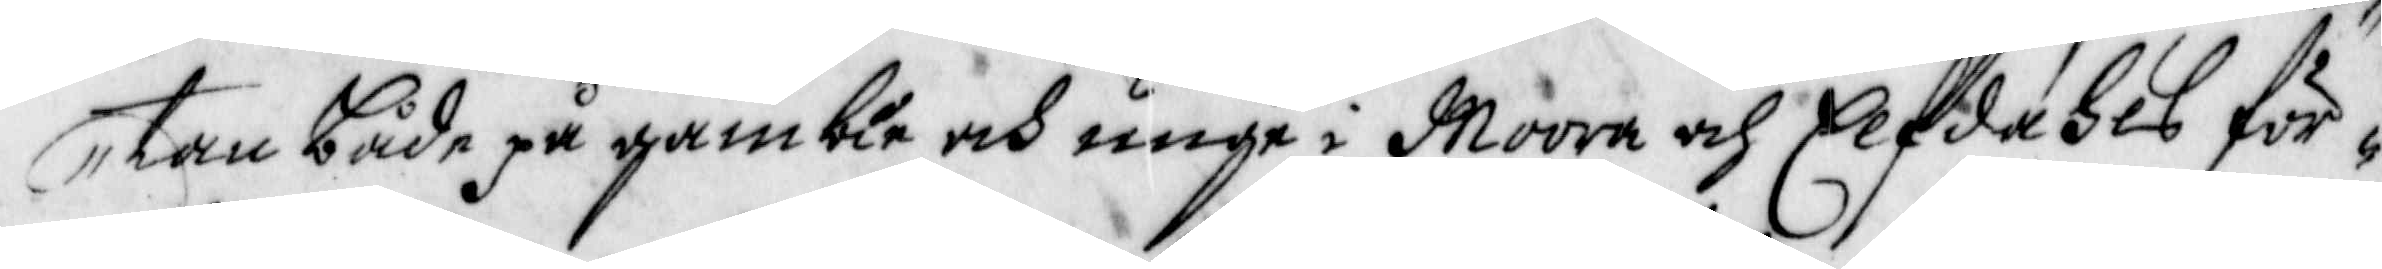tan både på gamble och unge i Moora och Elfdahls för¬
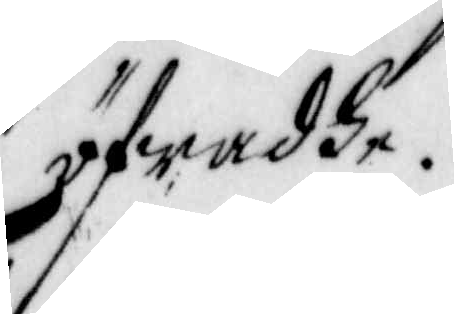öfwadhe.
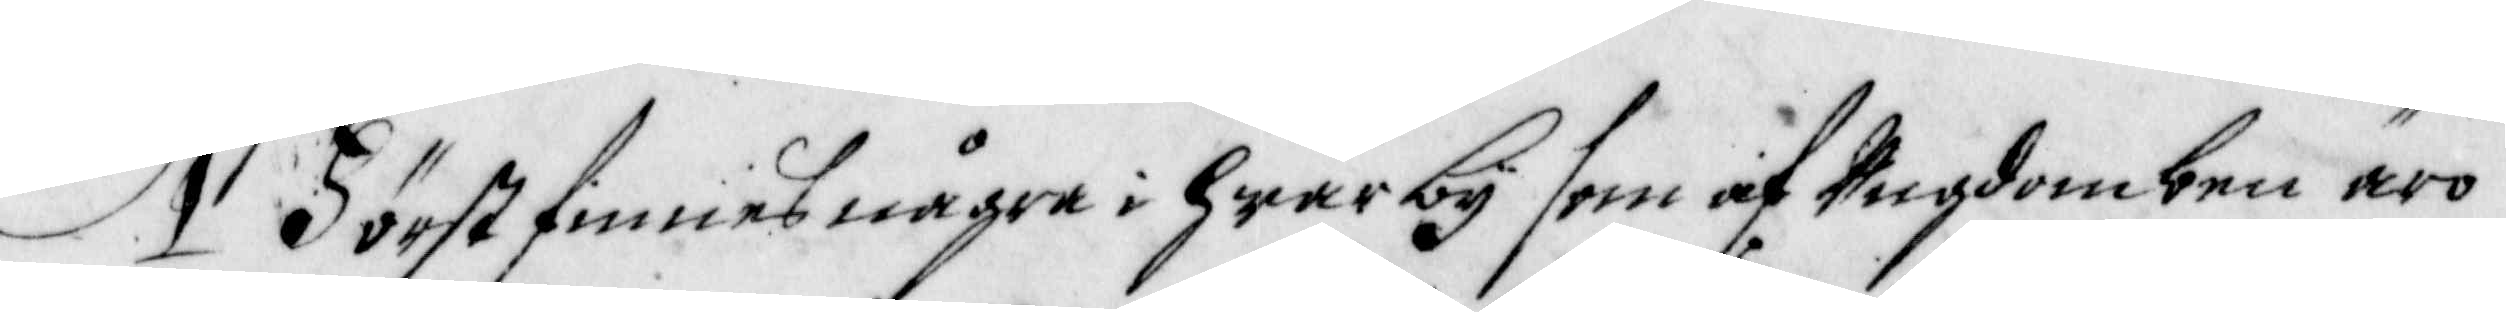1 Först finnes några i Hwar by som af Ungdomben äro
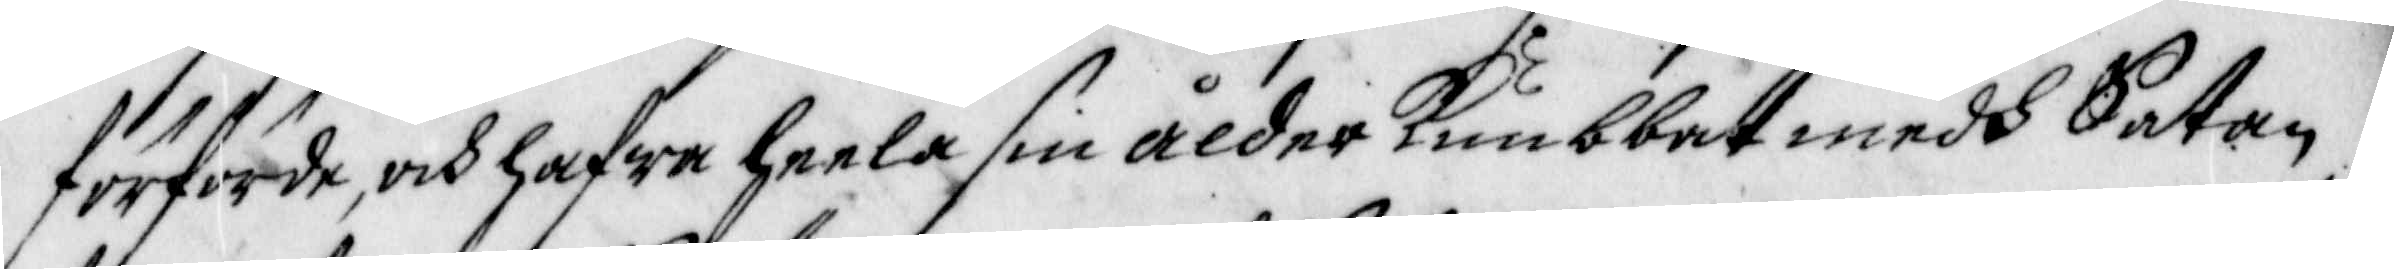förförde, och hafwa heela sin Ålder Knubbat medh Satan,
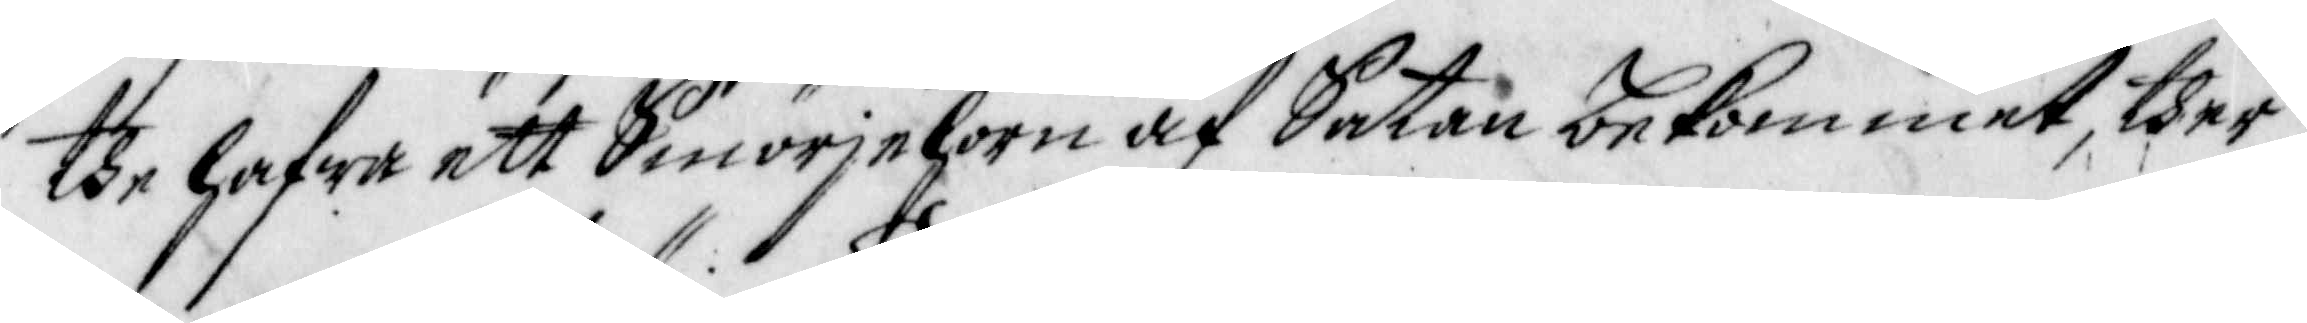the hafwa ett Smörjehorn af Satan bekommet, ther
